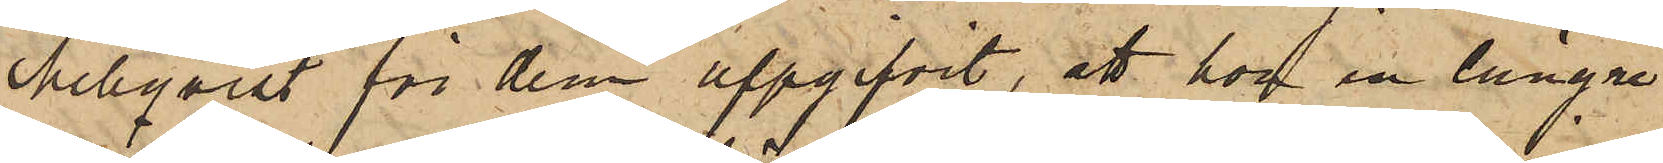Mellqvist för dem uppgifvit, att hon en längre
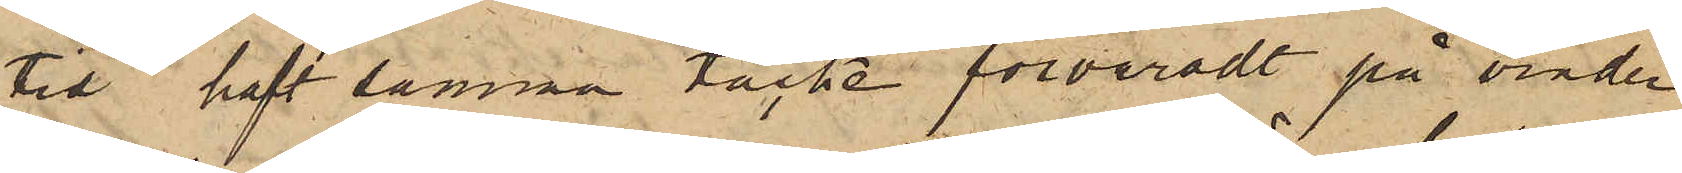tid haft samma täcke förvaradt på vinden
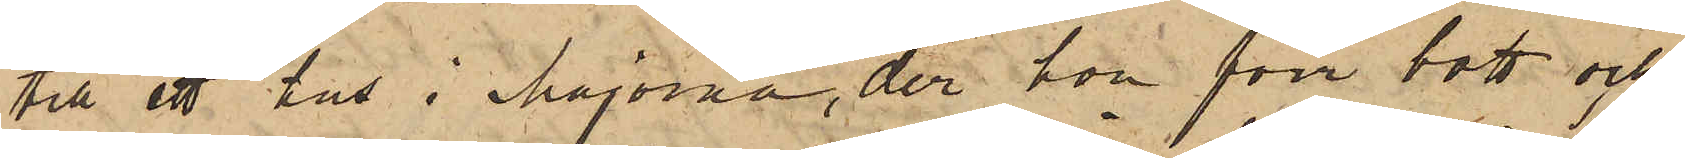till ett hus i Majorna, der hon förr bott och
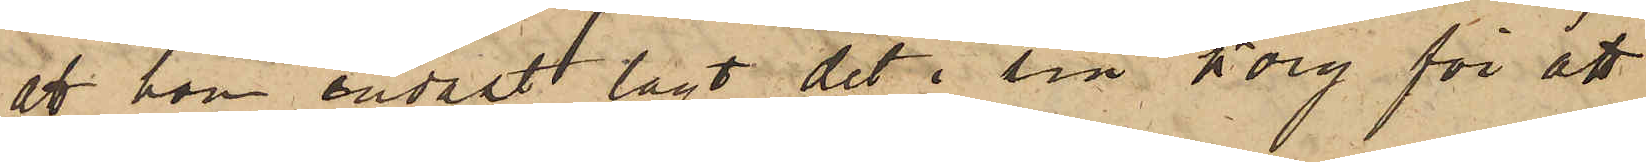att hon endast lagt det i sin korg för att
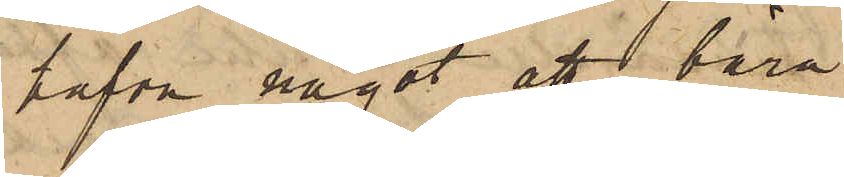hafva något att bära
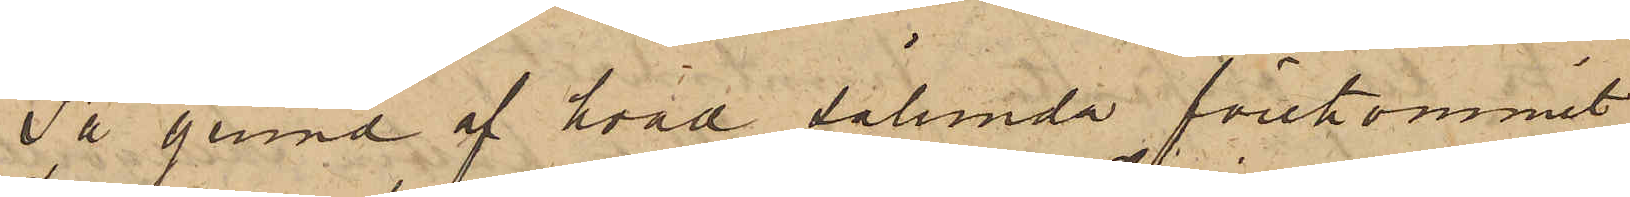På grund af hvad sålunda förekommit,
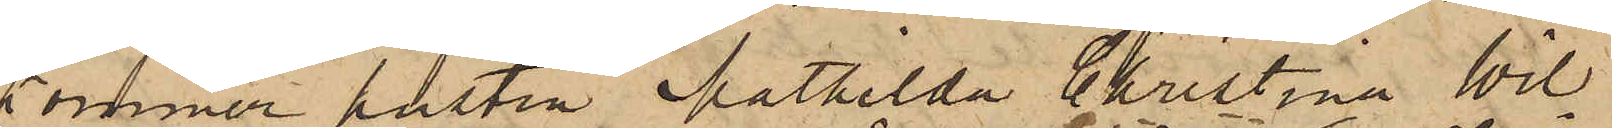kommer hustru Mathilda Christina Wil¬
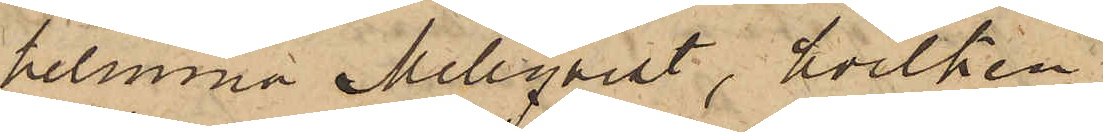helmina Mellqvist, hvilken
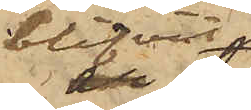blifvit
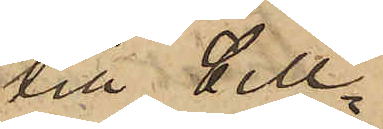till Cell¬
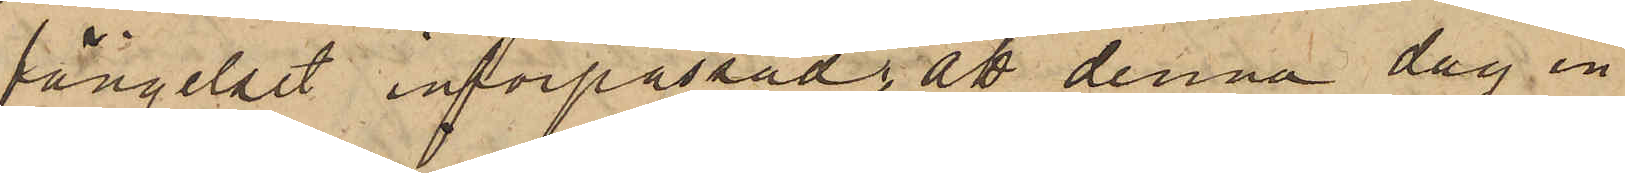fängelset införpassad, att denna dag in¬
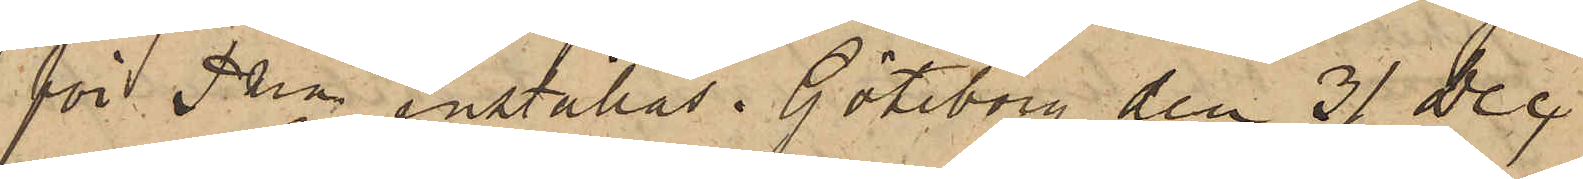för Pkn inställas. Göteborg den 31 Dec.
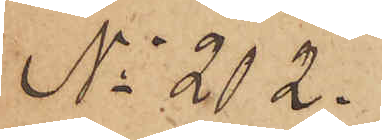No 202.
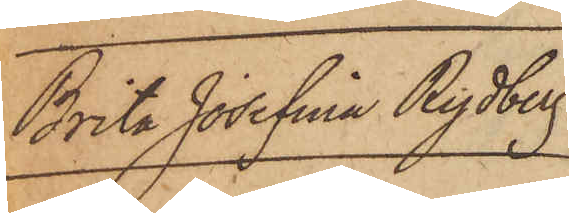Brita Josefina Rydberg.
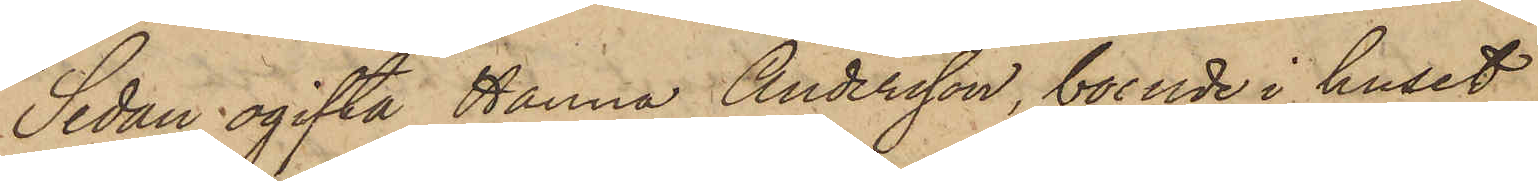Sedan ogifta Hanna Andersson, boende i huset
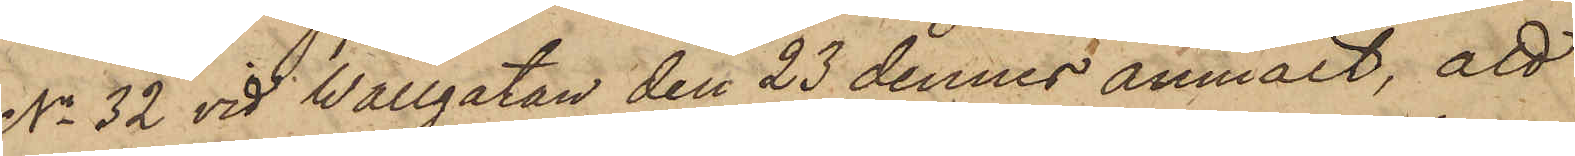No 32 vid Wallgatan den 23 dennes anmält, att
